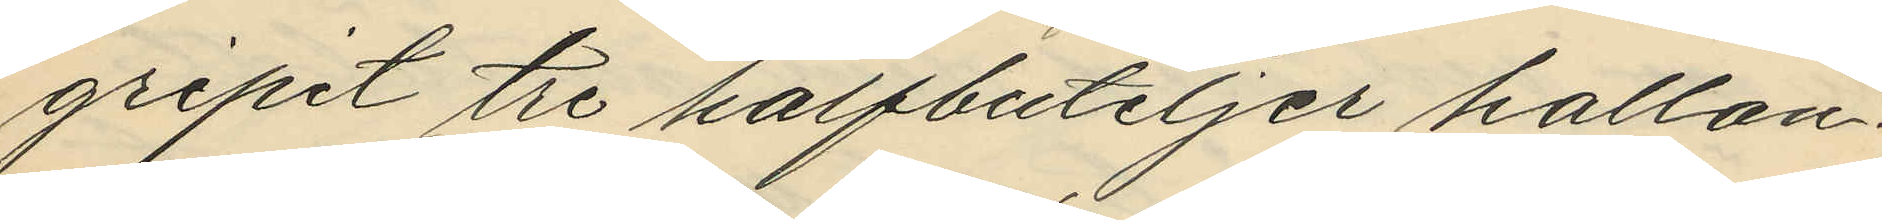gripit tre halfbuteljer hallon¬
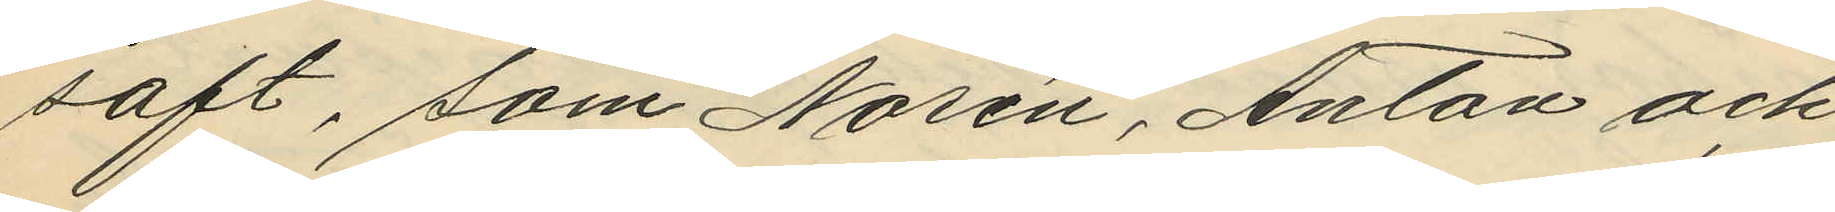saft, som Norén, Anton och
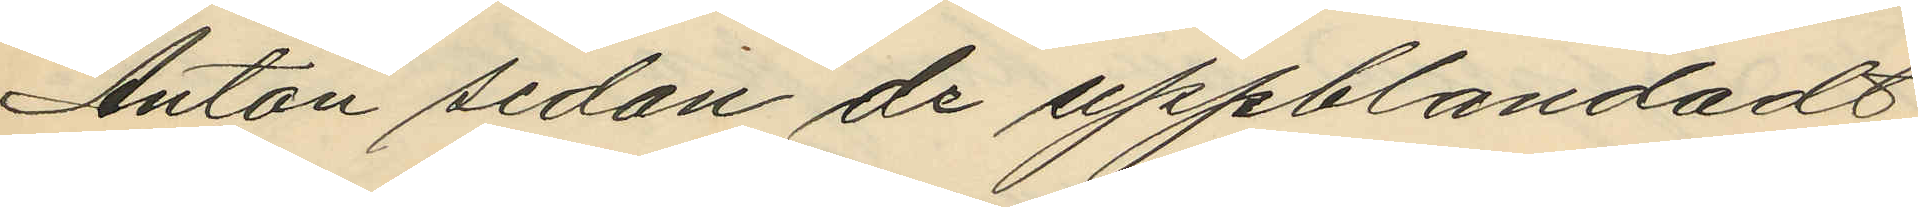Anton sedan de uppblandadt
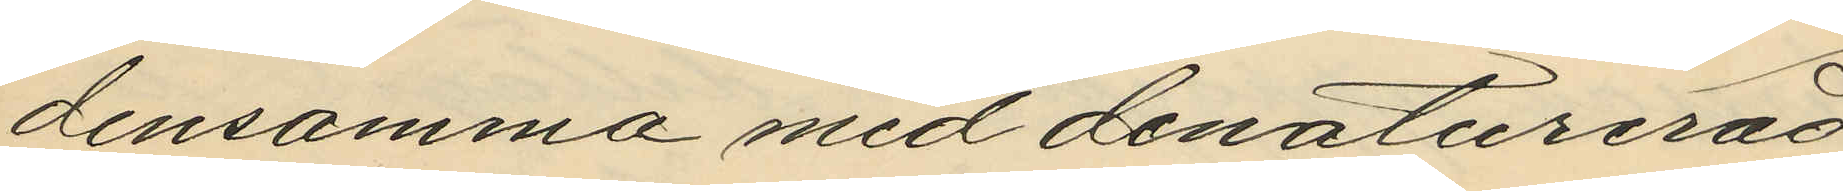densamma med denaturerad
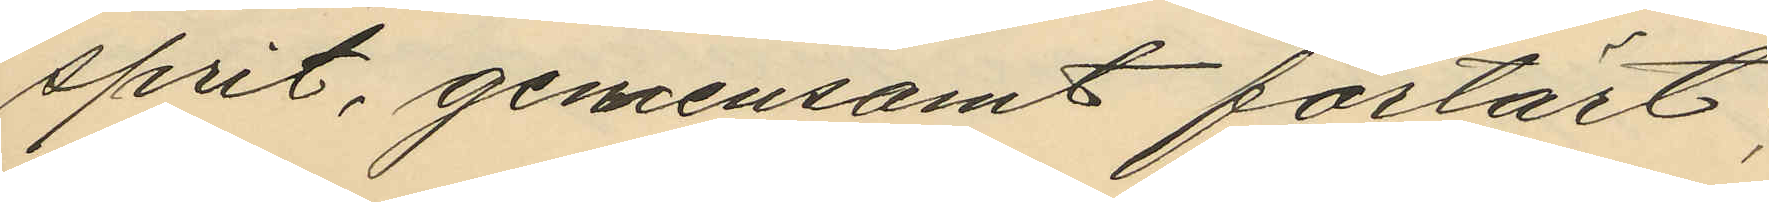sprit, gemensamt förtärt;
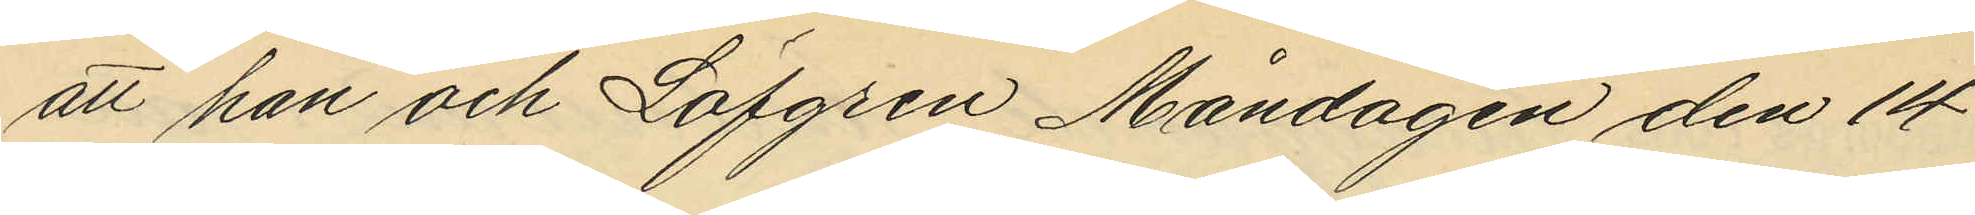att han och Löfgren Måndagen den 14
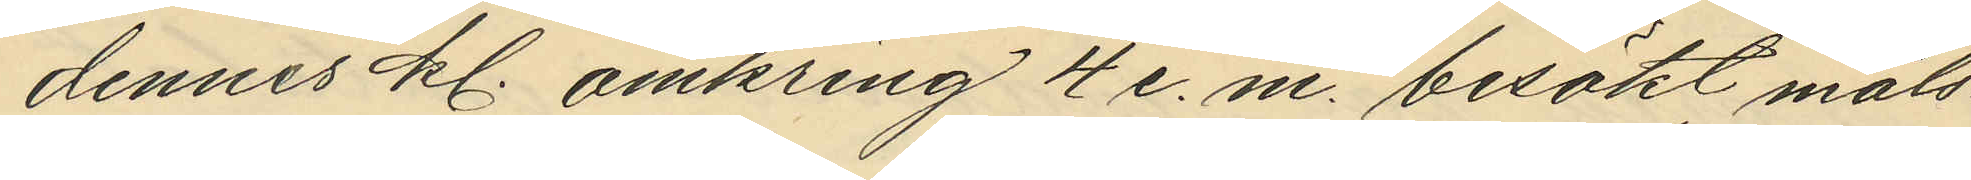dennes kl. omkring 4 e. m. besökt måls¬
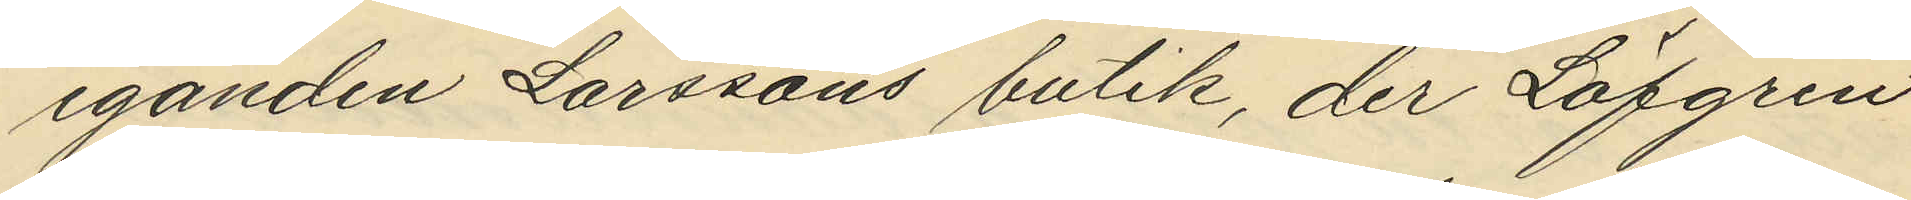eganden Larssons butik, der Löfgren
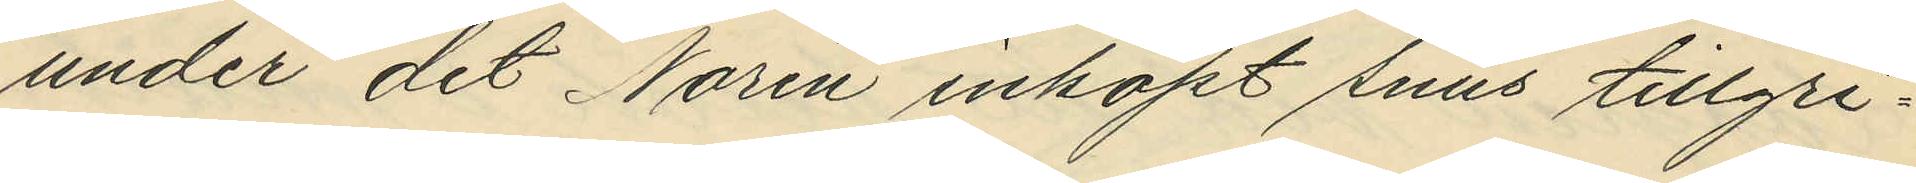under det Norén inköpt snus tillgri¬
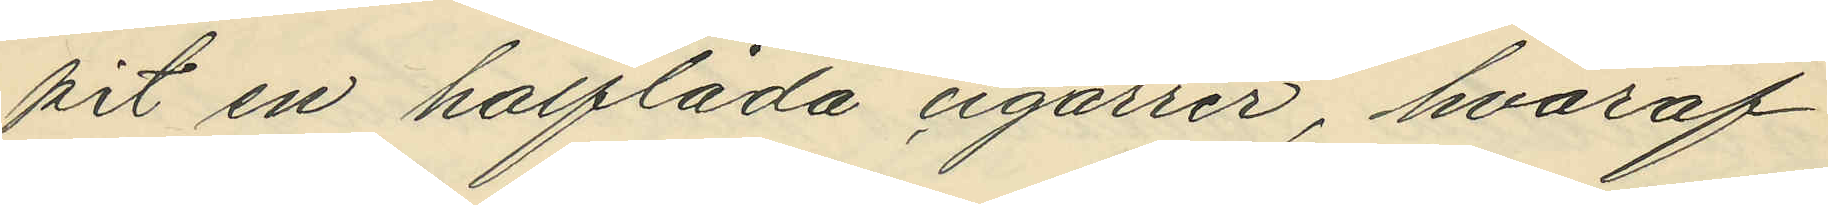pit en halflåda cigarrer, hvaraf
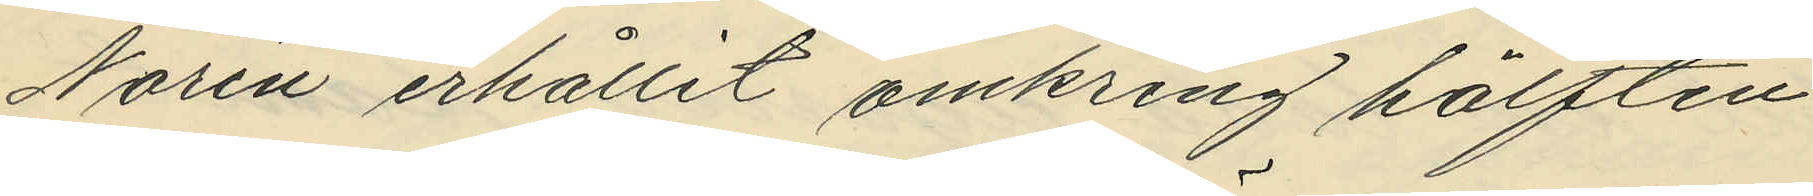Norén erhållit omkring hälften
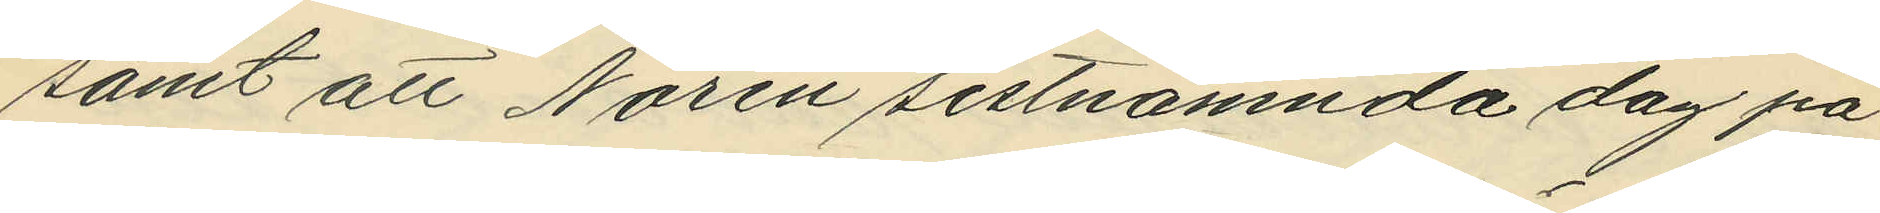samt att Norén sistnämnda dag på
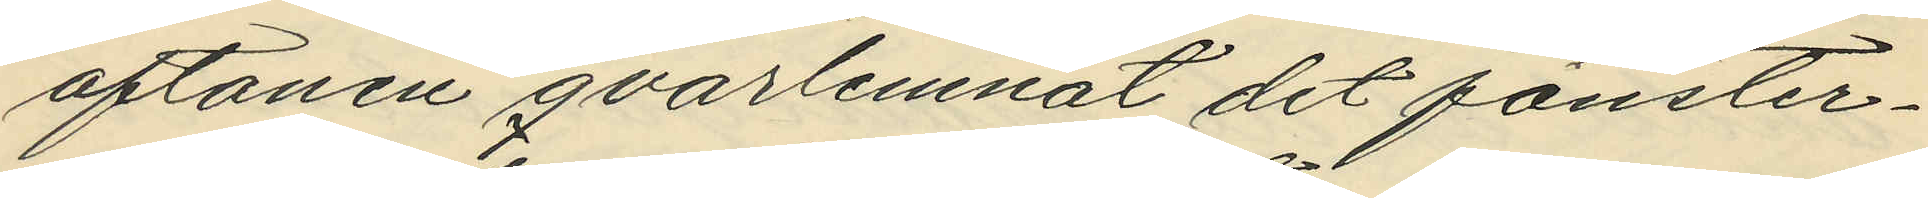aftonen qvarlemnat det fönster¬
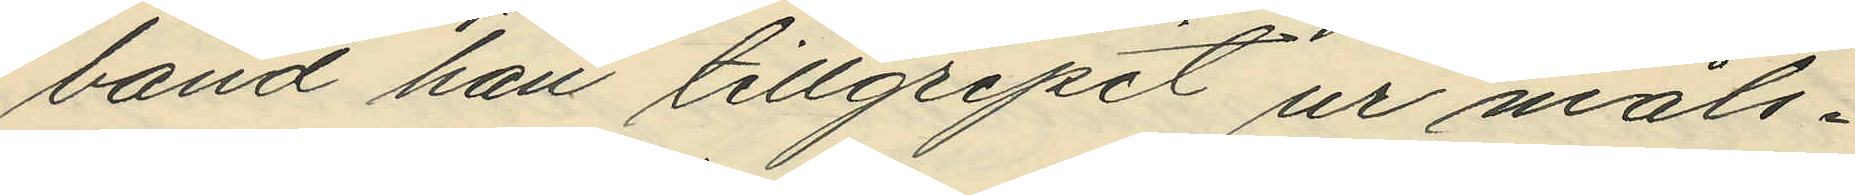band han tillgripit ur måls¬
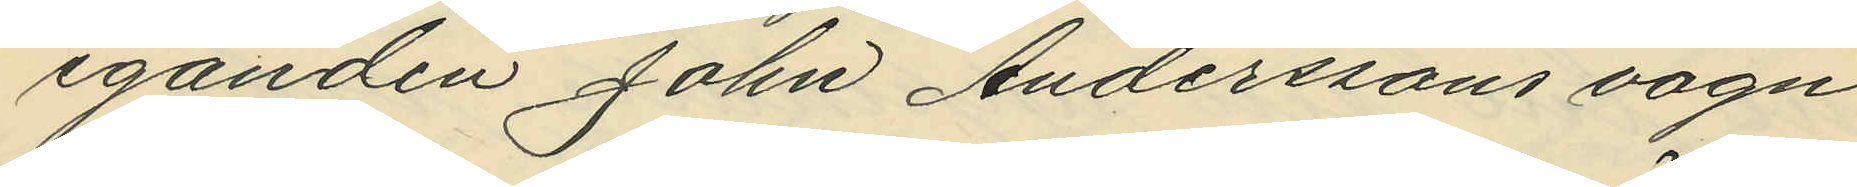eganden John Anderssons vagn
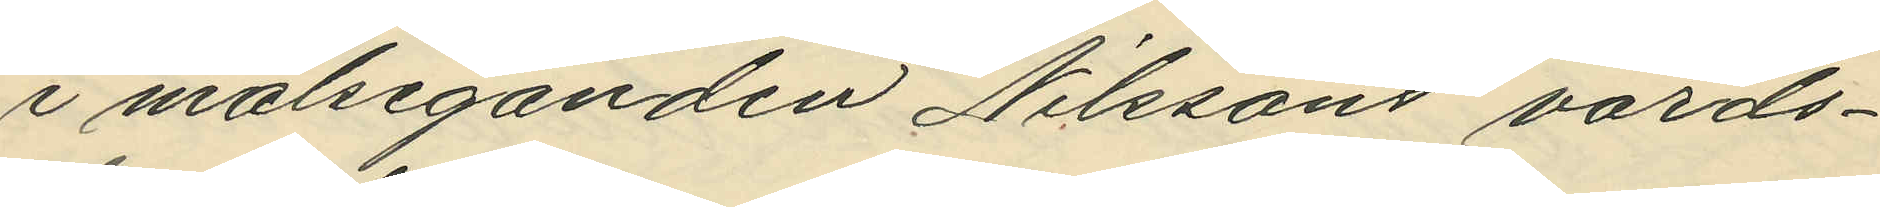i målseganden Nilssons värds¬
